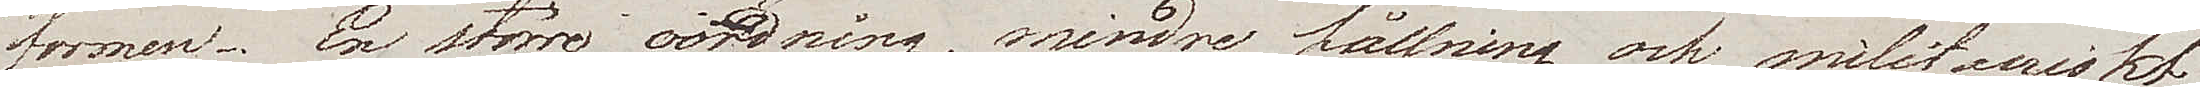formen. En större oordning, mindre hållning och militairiskt
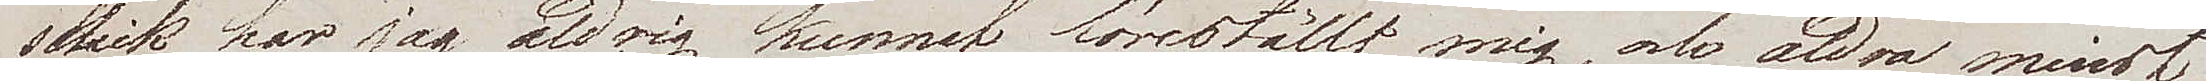skick har jag aldrig kunnat föreställt mig, och aldra mindst
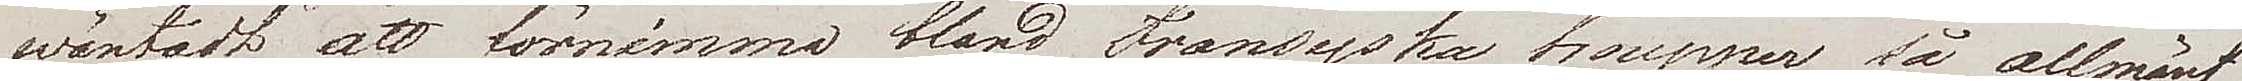wäntadt att förnimma bland Fransyska trupper så allmänt
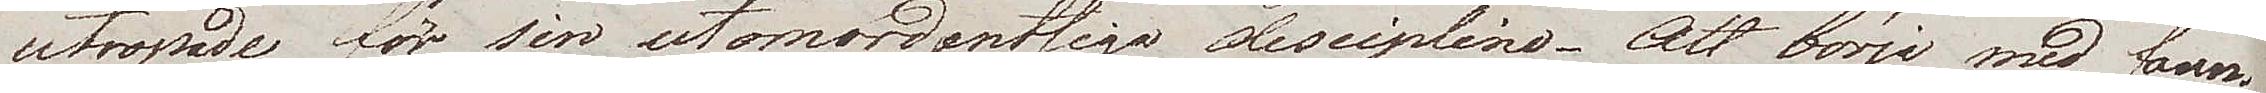utropade för sin utomordentliga disciplin. Att börja med, fanns
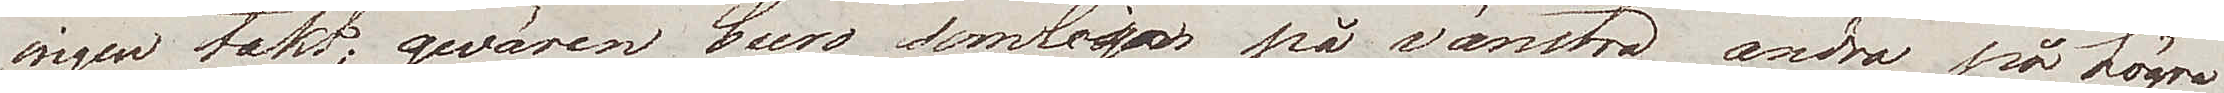ingen takt; gevären buro somliga på vänstra andra på högra
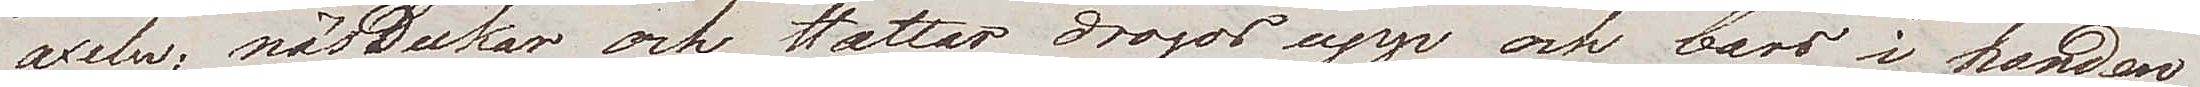axeln; näsdukar och hattar, drogos upp och bars i handen
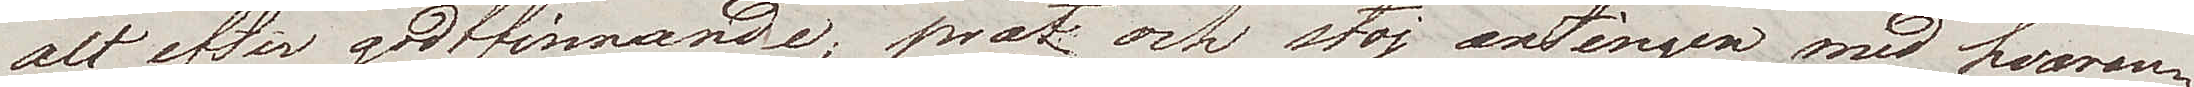allt efter gottfinnande; prat och stoj antingen med hvaran¬
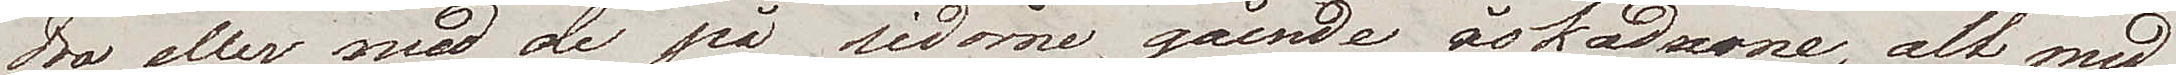dra eller med de på sidorna gående åskådarne, alt med
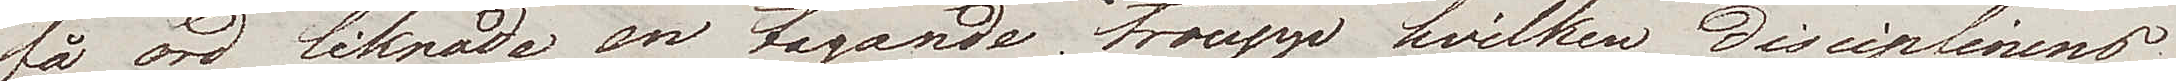få ord liknade en tågande trouppe hvilken disciplinens
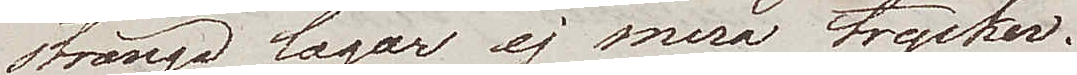stränga lagar ej mera trycker.
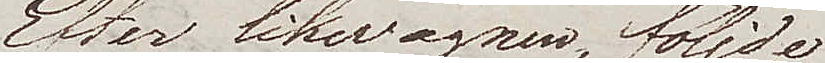Efter likvagnen, följde
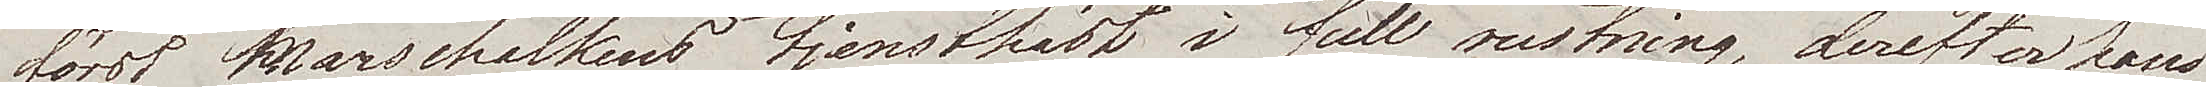först Marschalkens tjenstehäst i full rustning, derefter hans
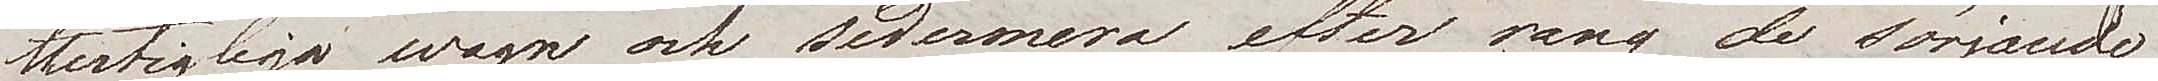Hertigliga wagn och sedermera efter rang de sörjande
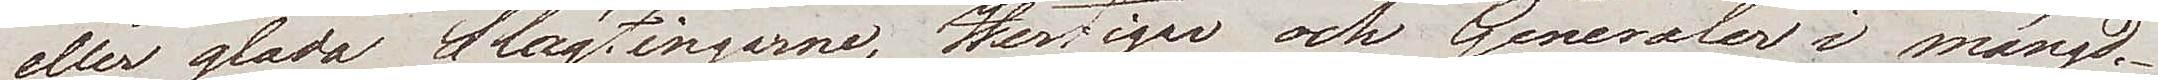eller glada Slägtingarne, Hertigar och Generaler i mängd.
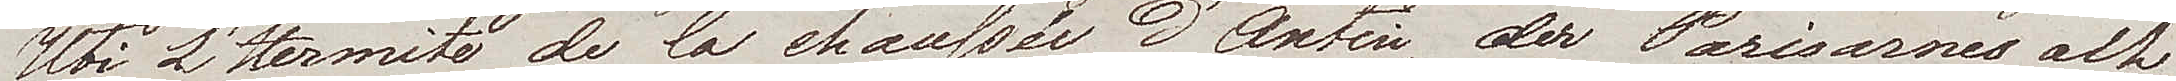Uti L'Hermite de la Chaussée d'Antin, der Parisarnes och
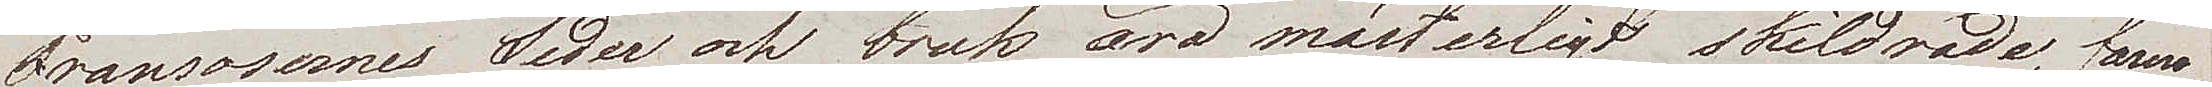Fransosernes Seder och bruk äro mästerligt skildrade, fann
